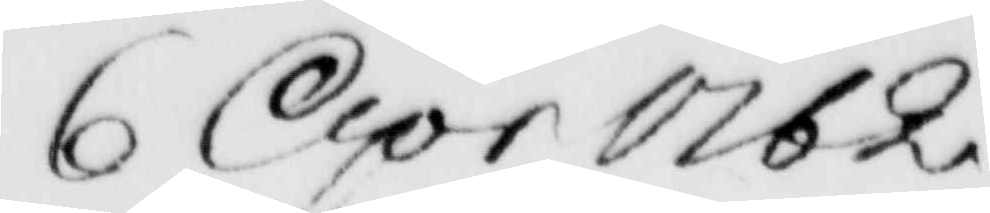6 Apr 1762
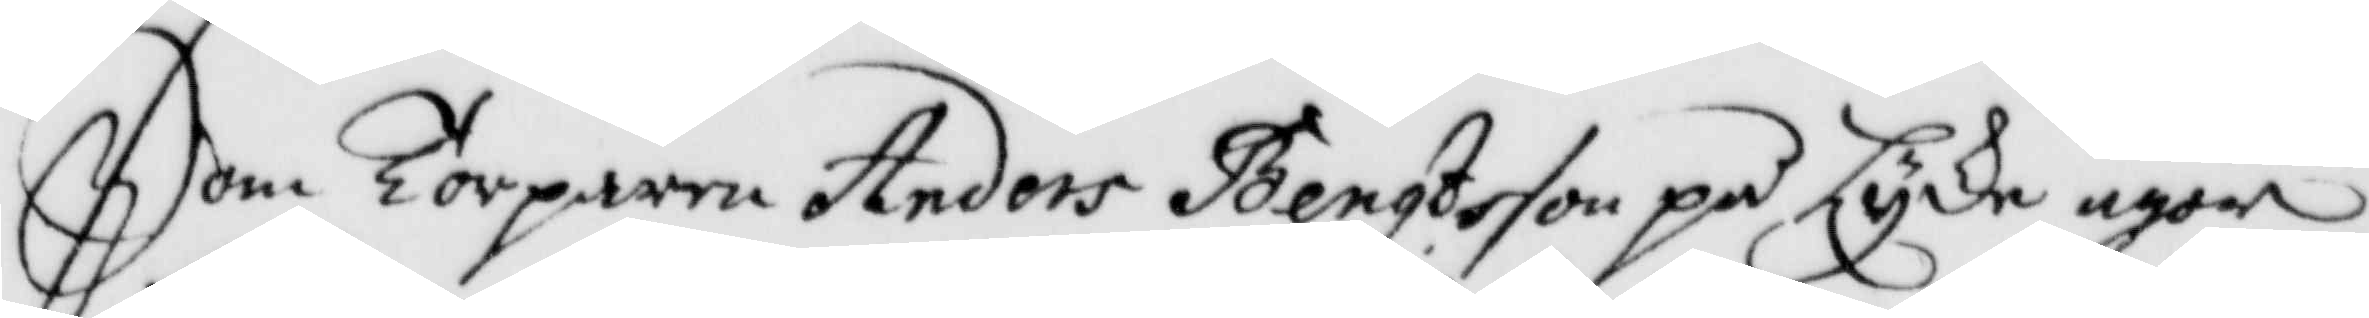Som Torparen Anders Bengtsson på Lyke ägor
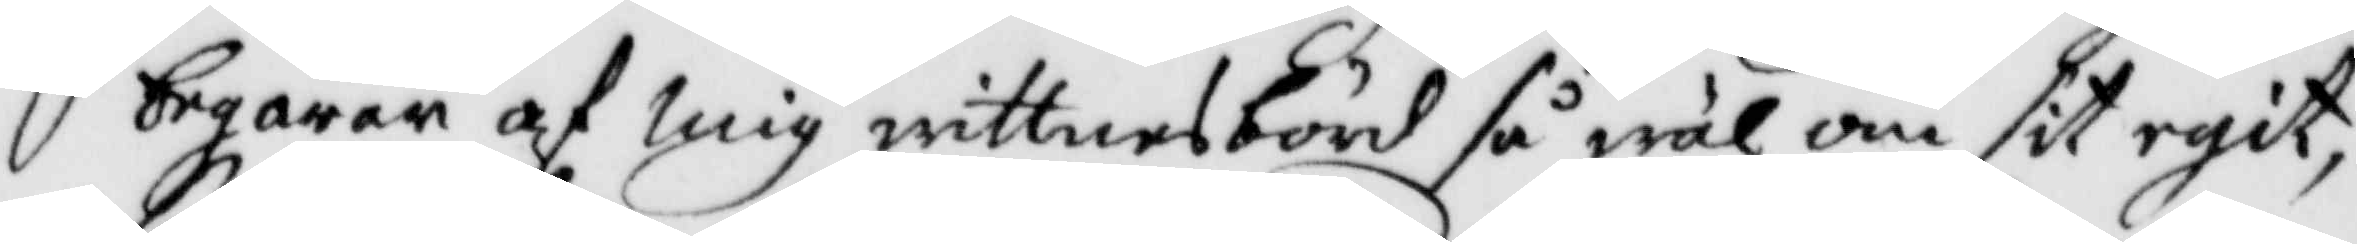begäran af mig wittnesbörd så wäl om sit egit
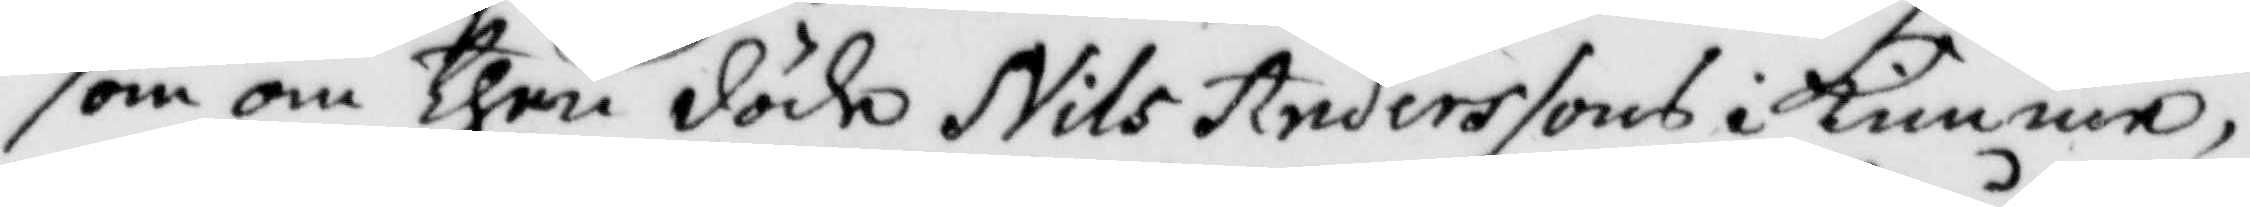som om then döde Nils Anderssons i Kimme,
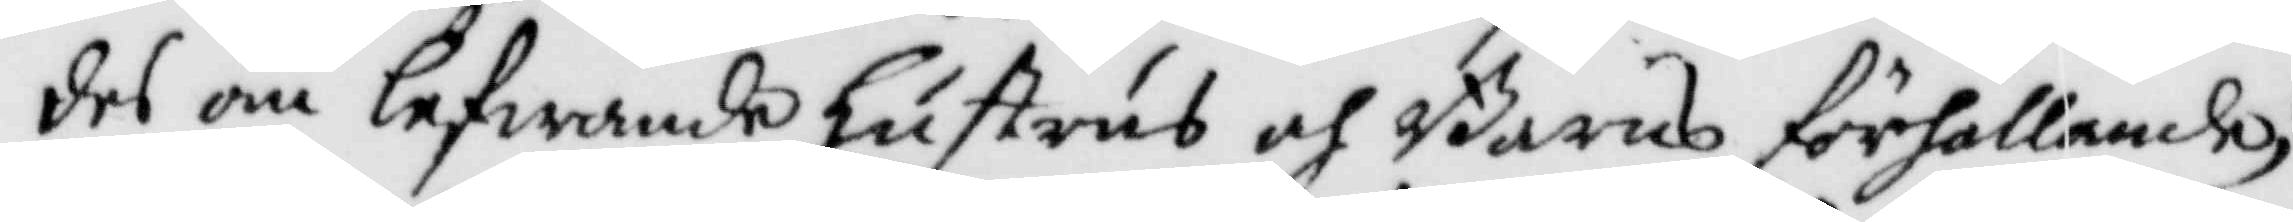des än lefwande hustru och Barns förhållande;
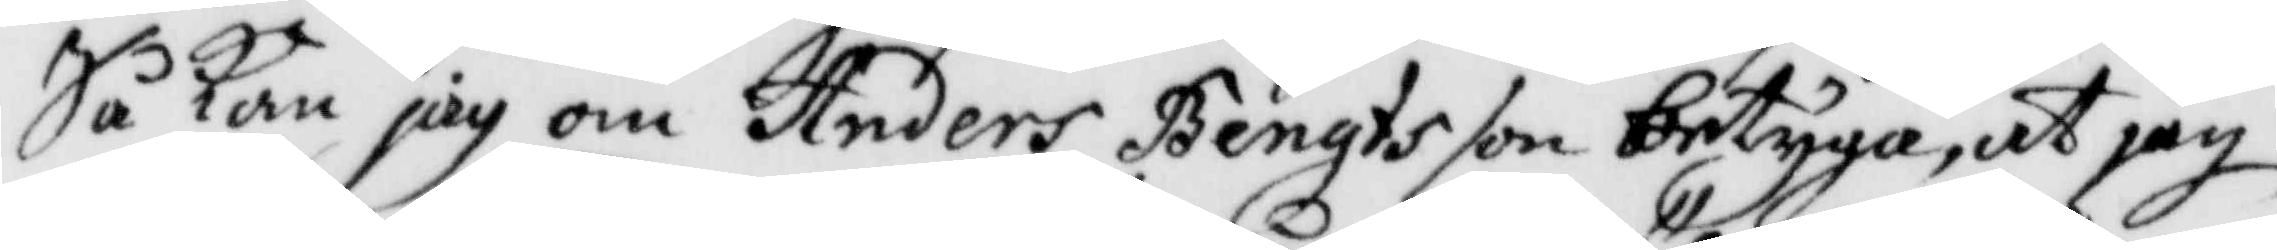Så kan jag om Anders Bengtsson betyga, at jag
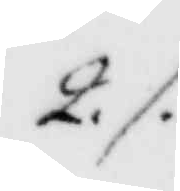2./.
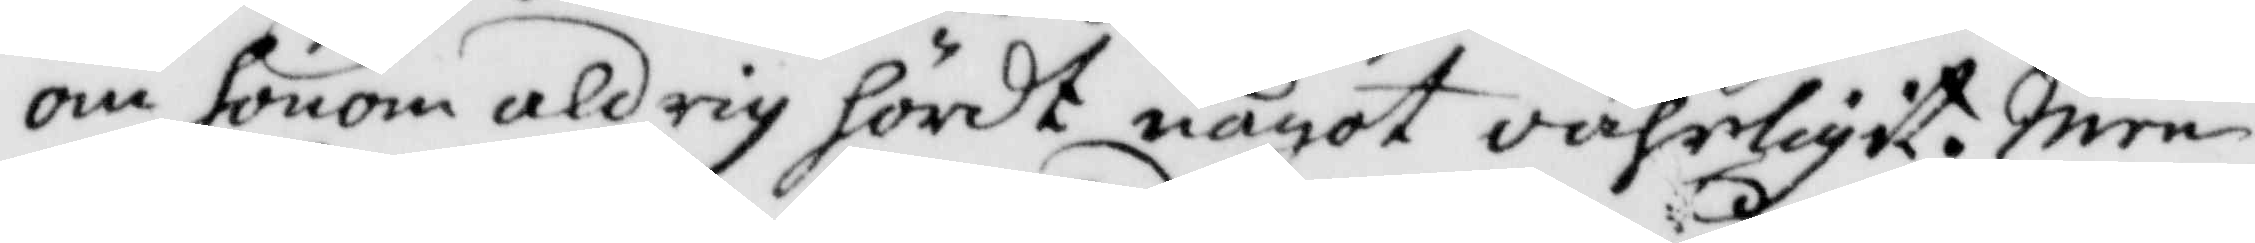om honom aldrig hördt något oährligit. Men
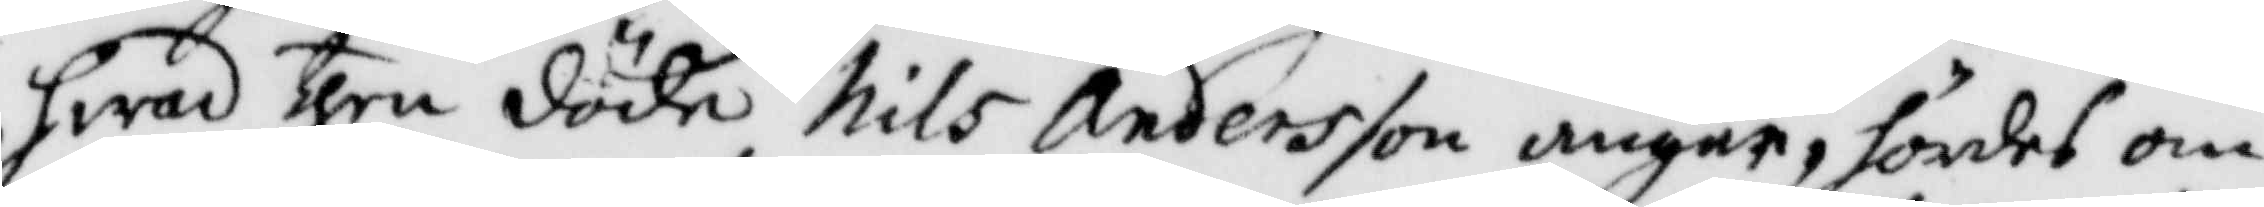hwad then döde Nils Andersson angår, hördes om
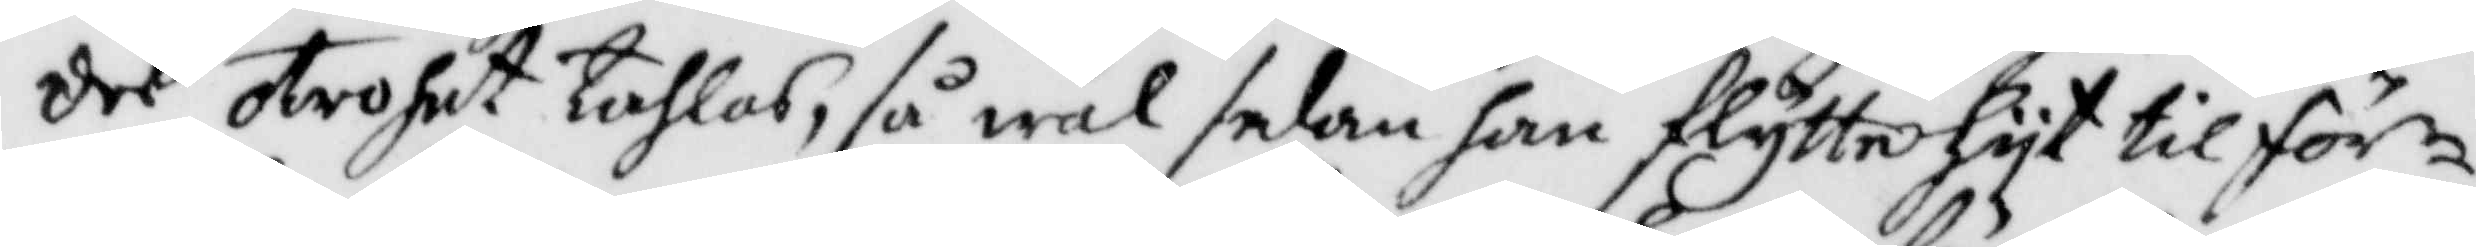des otrohet tahlas, så wäl sedan han flytte hyr til för¬
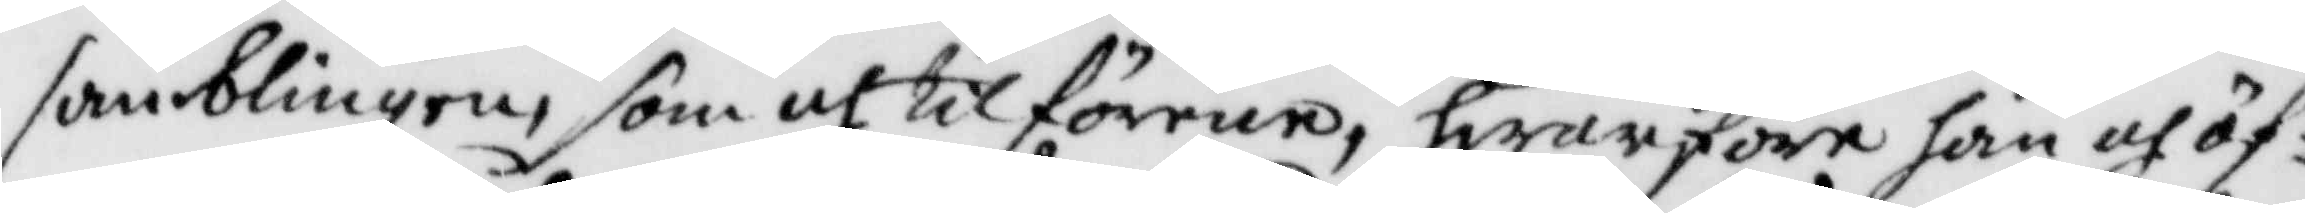samblingen, som och til förene, hwarföre han och öf¬
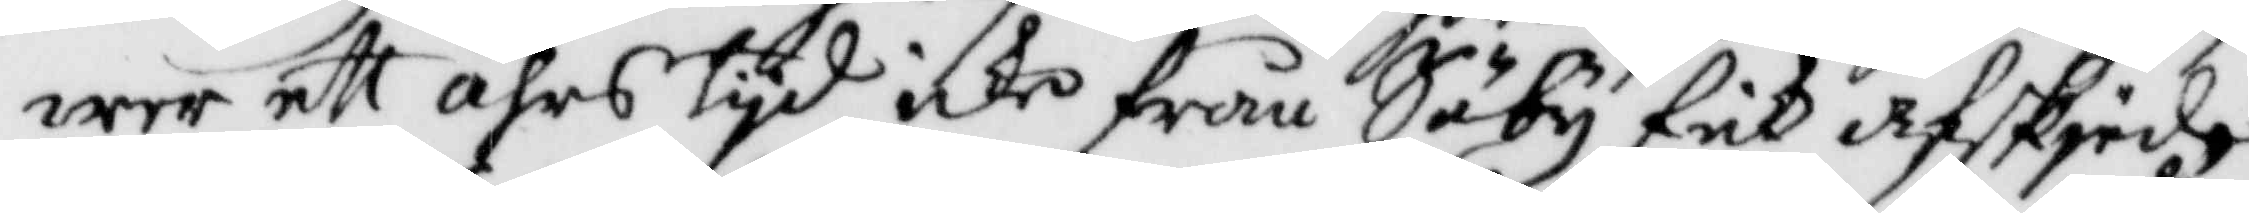wer ett åhrs tyd icke från Säby fick afskied
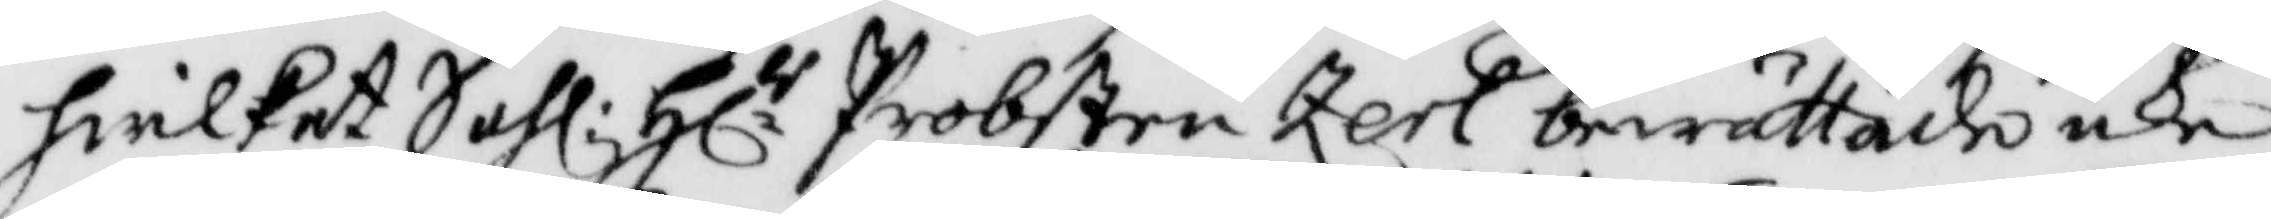hwilket Sahl: Hl.r Probsten Zerl berättade icke
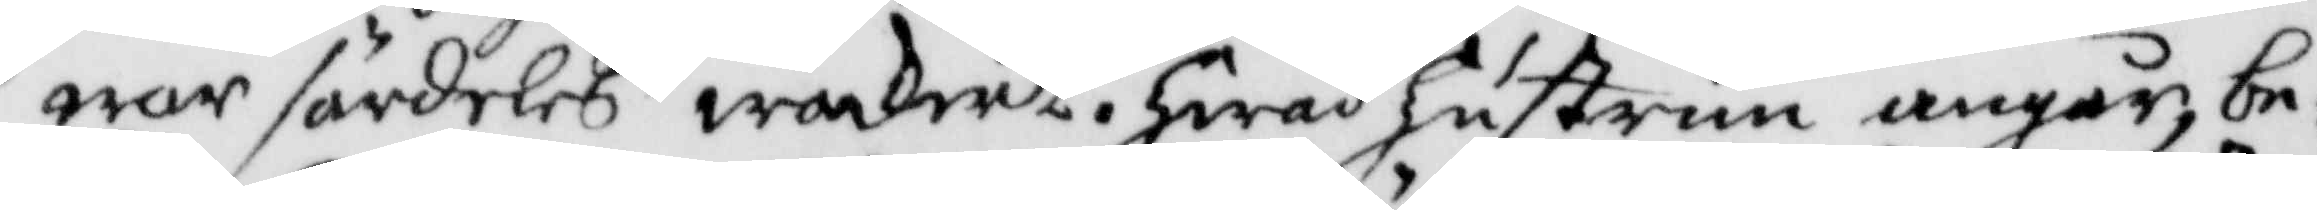war särdeles wackert. hwad hustrun angår be¬
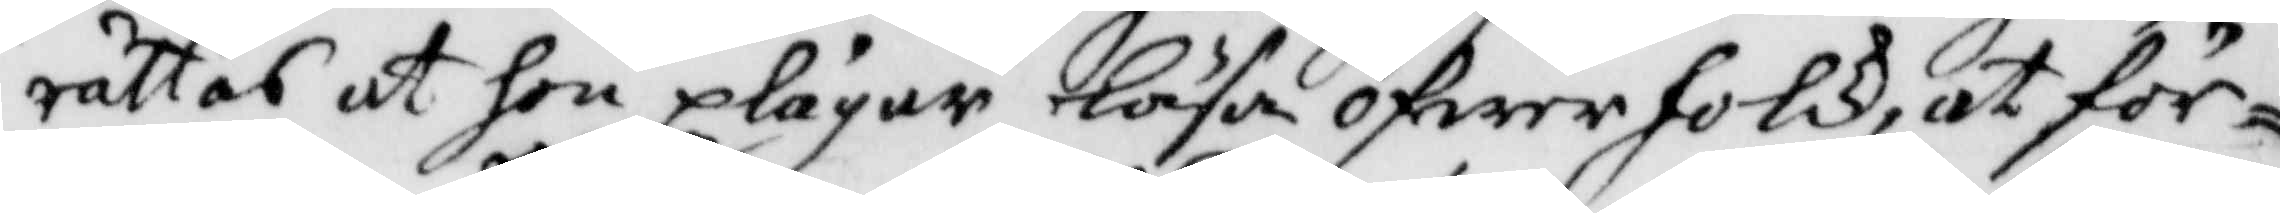rättas at hon plägar läsa öfwer folck, at för¬
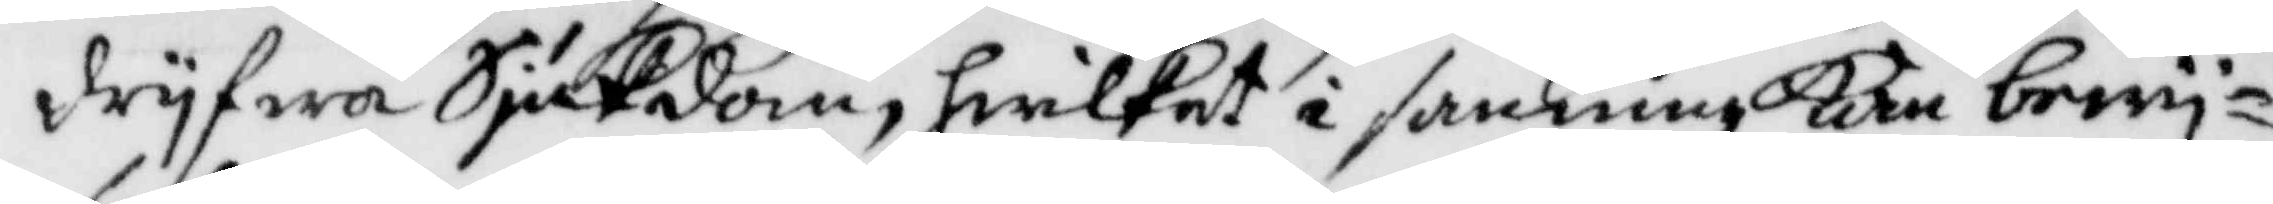dryfwa Sjukdom, hwilket i sanninge kan bewy¬
